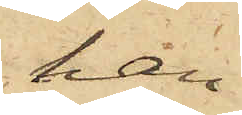han
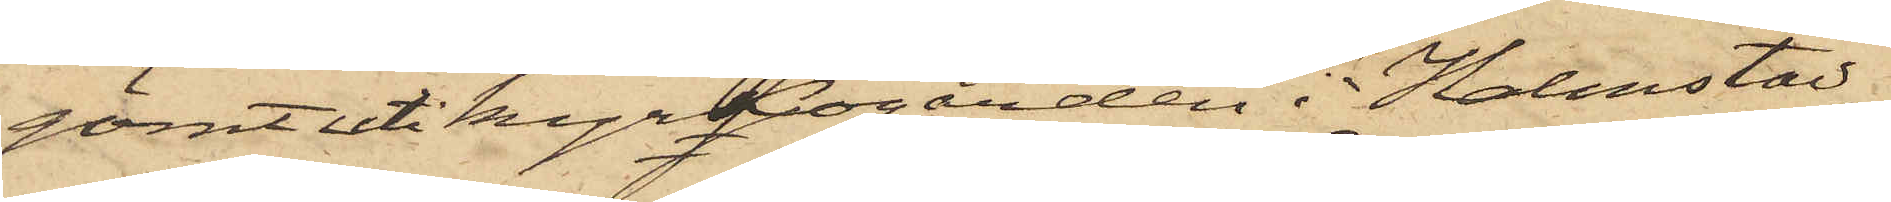gömt uti kyrkogården i Halmstad,
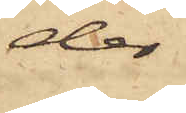der
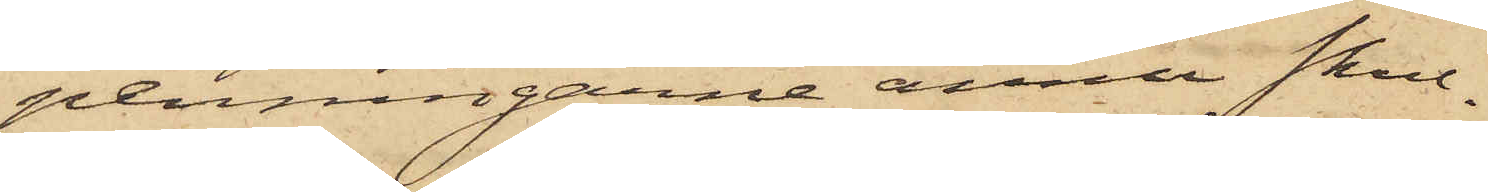penningarne ännu skul¬
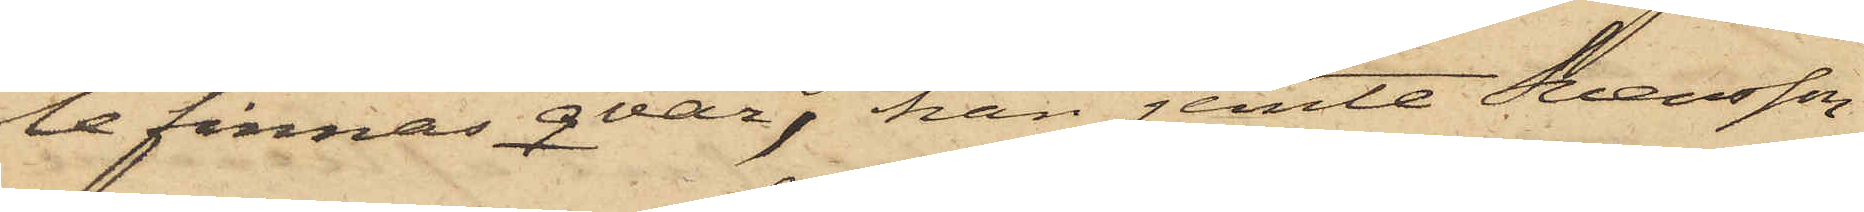le finnas qvar, han jemte Svensson
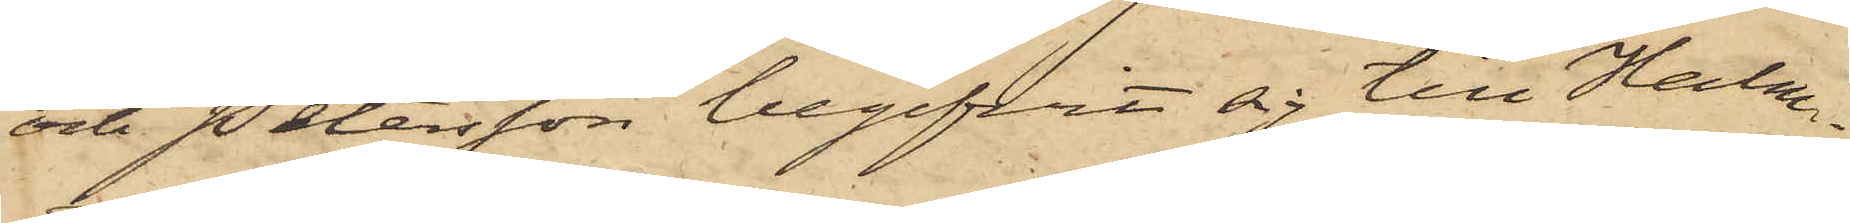och Petersson begifvit sig till Halm¬
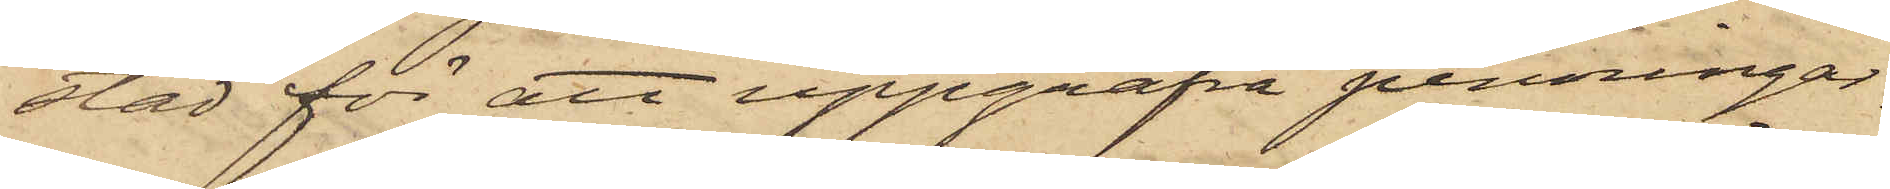stad för att uppgräfva penningar¬
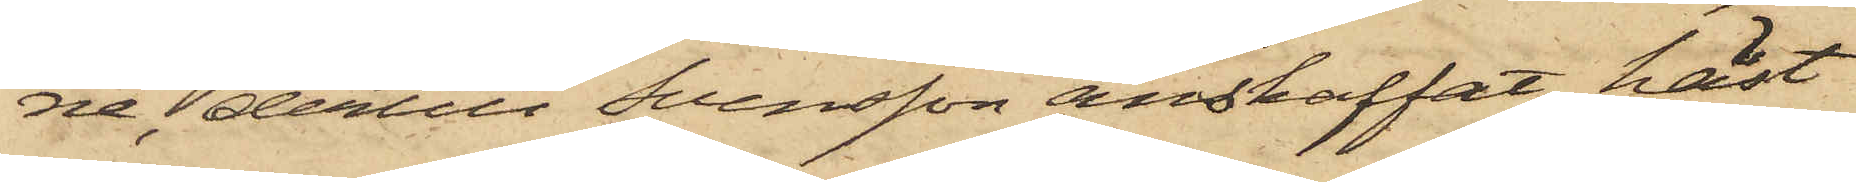ne, dertill Svensson anskaffat häst
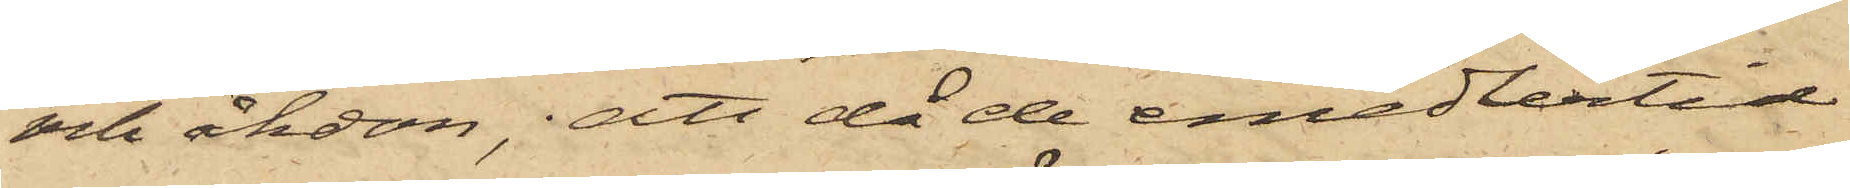och åkdon, att då de emedlertid
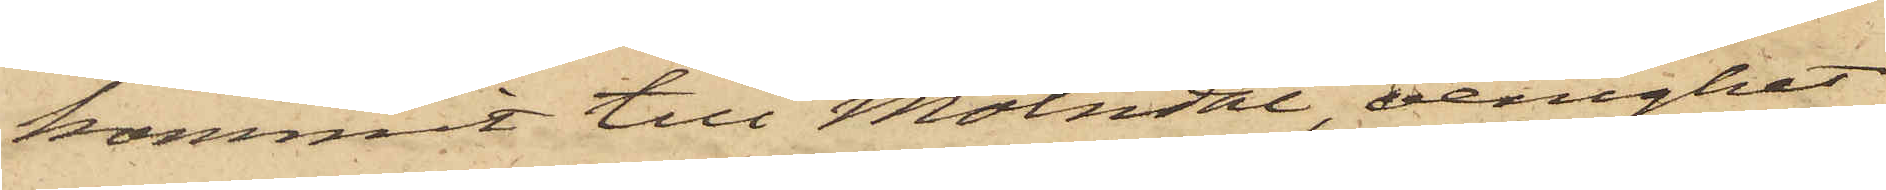kommit till Mölndal, oenighet
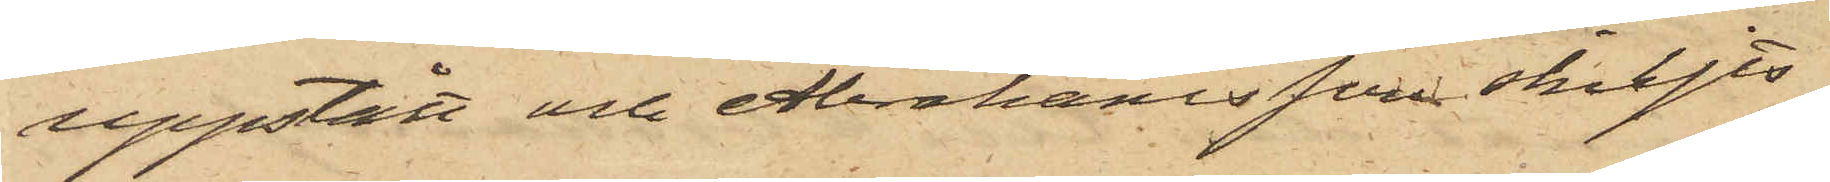uppstått och Abrahamsson skiljts
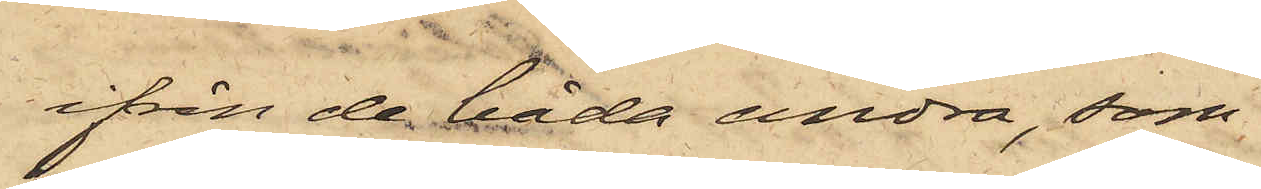ifrån de båda andra, som
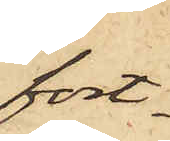fort¬
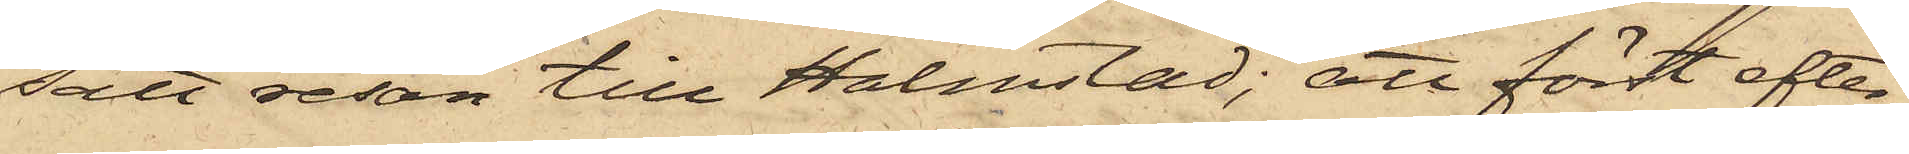satt resan till Halmstad; att först efter
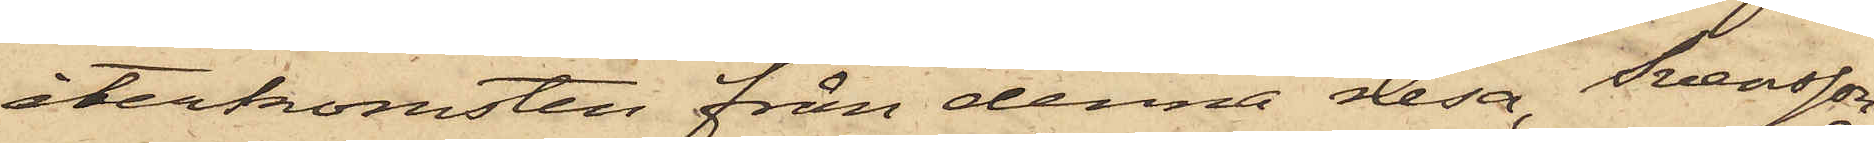återkomsten från denna resa, Svensson
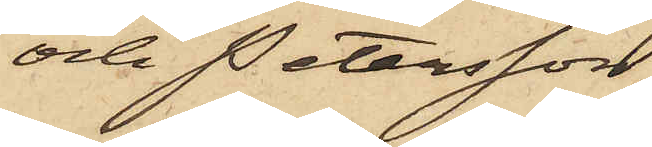och Petersson,
